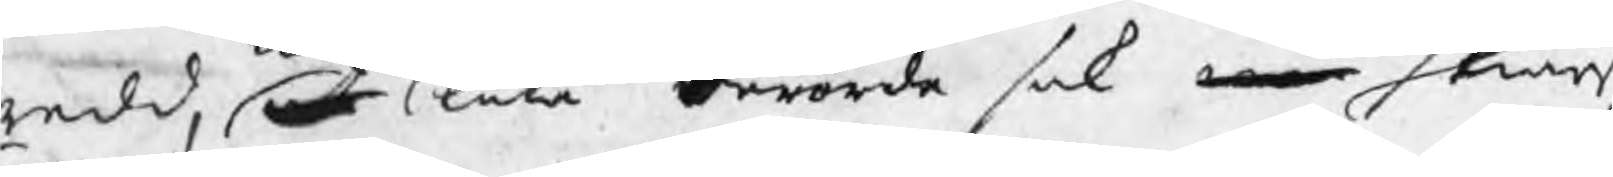redd, at låta berörde sak enär skiärs
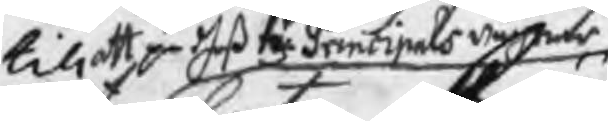till ett på deß Hr Principals wägnar
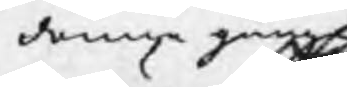denna gång
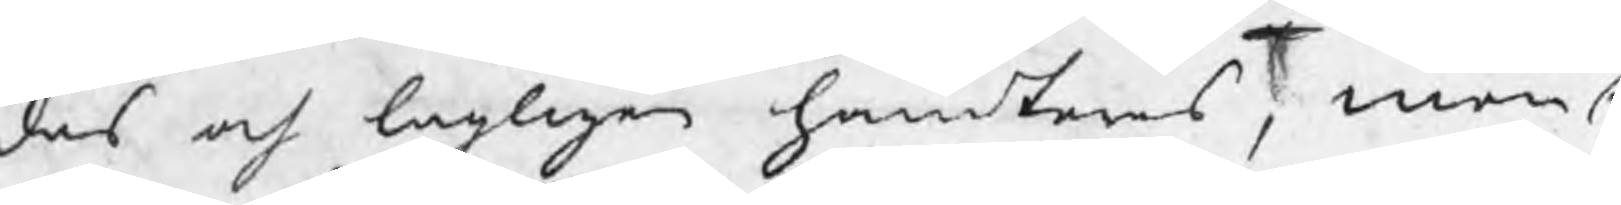des och lagligen handteras, men a
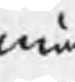mä
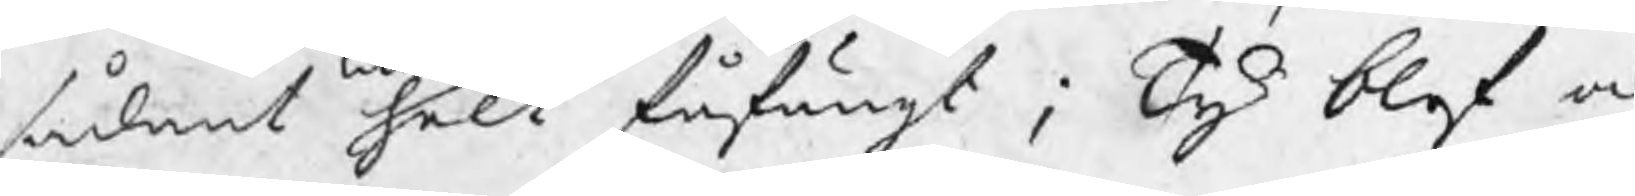sådant helt fåfängt ; Ty blef oc
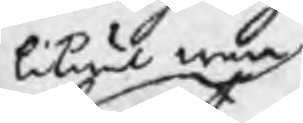likwäl war
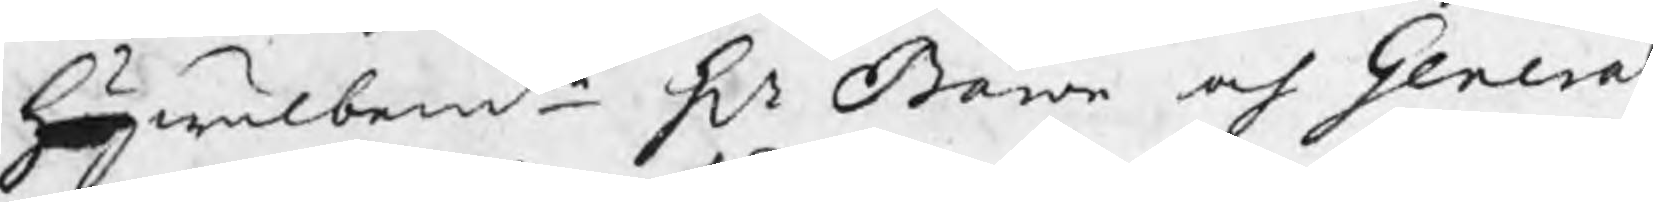Högwälbemte Hr Baron och General
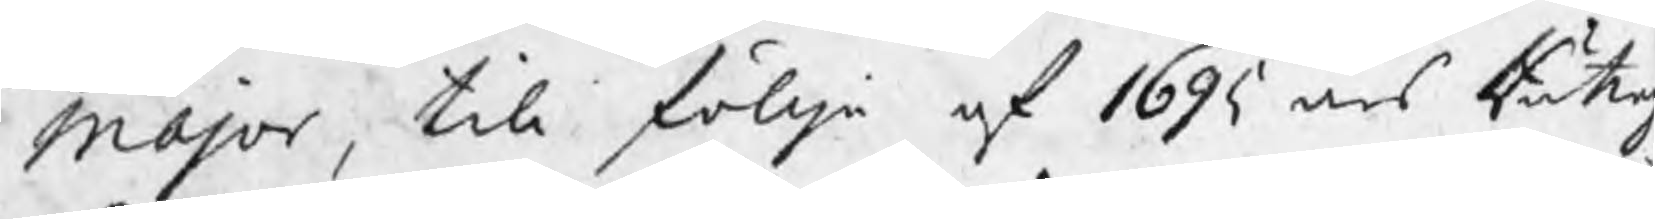Major, till föllje af 1695 års Rätte
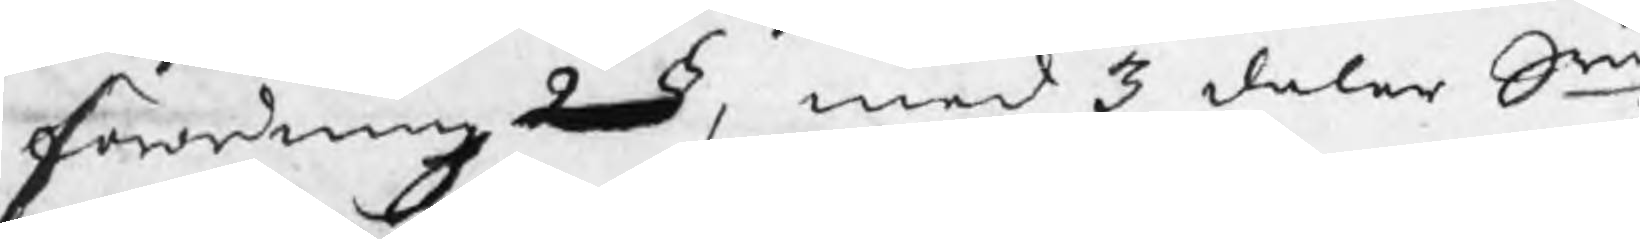förordningz 2 §, med 3 daler Smt
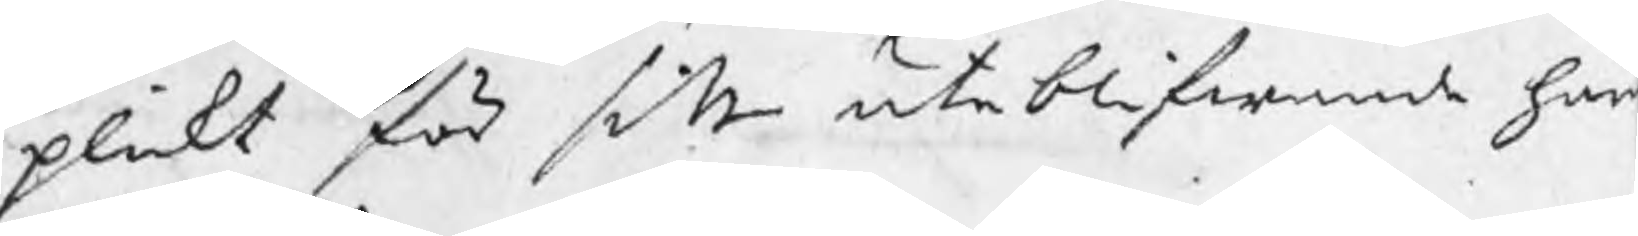plickt för sitt uteblifwande här
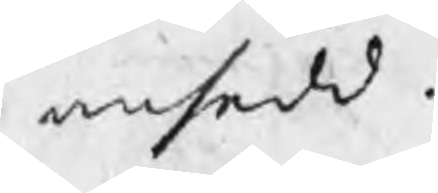ansedd.
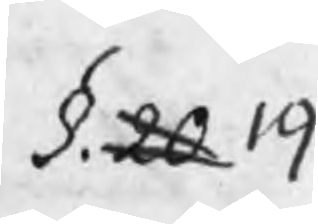§. 20 19
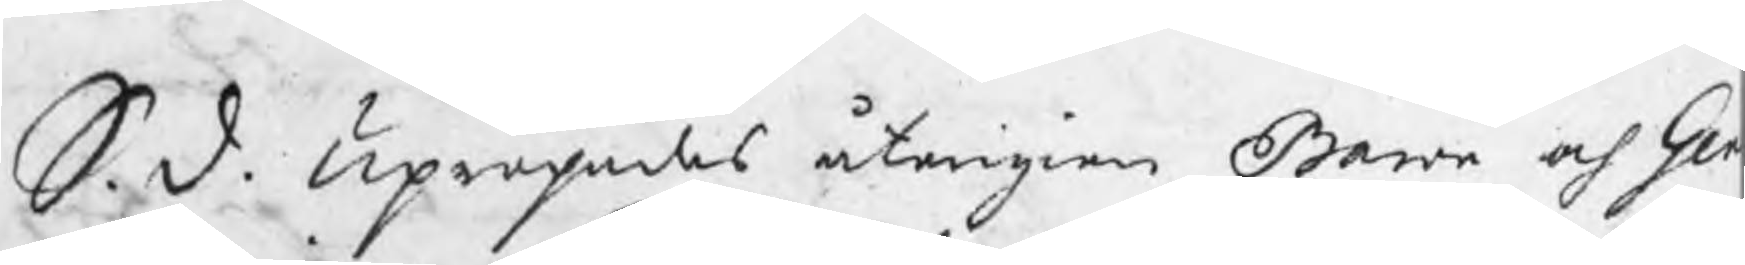S. D. Upropades återigien Baron och Ge
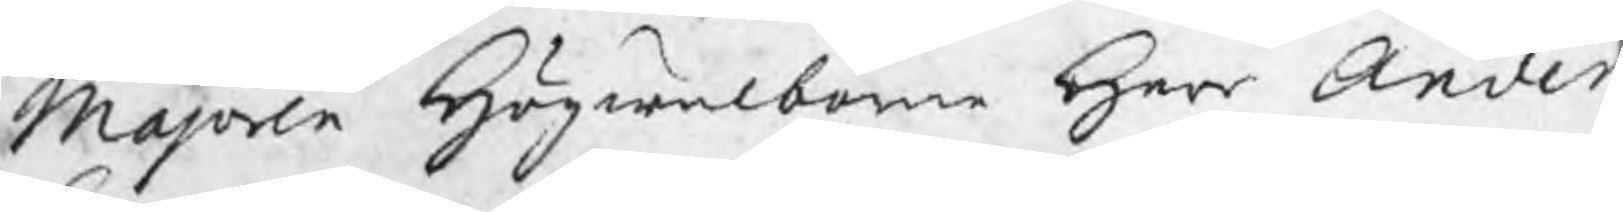Majoren Högwälborne Herr Ander
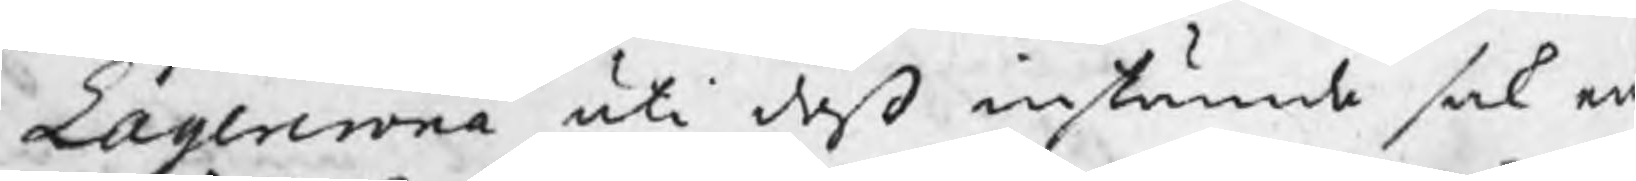Lagercrona uti deß instämde sak e
